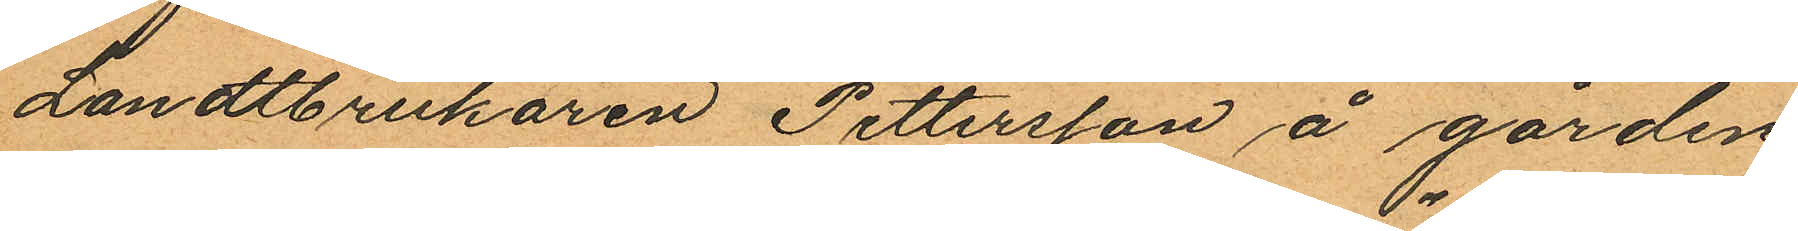Landtbrukaren Pettersson å gården
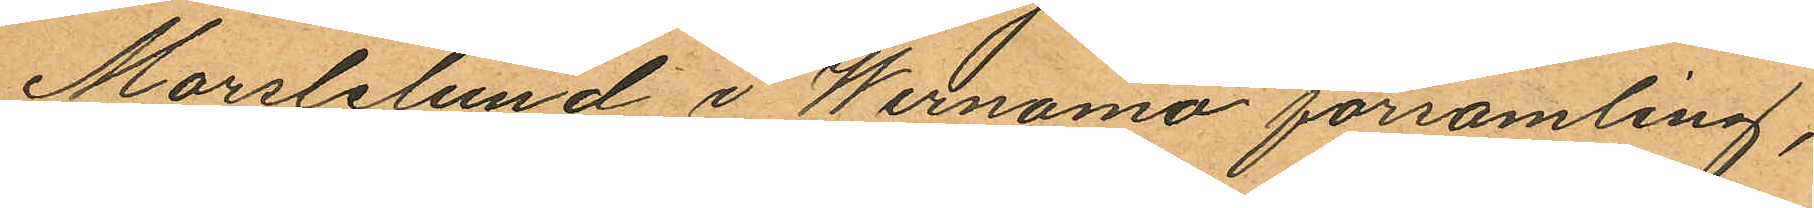Marslelund i Wernamo församling;
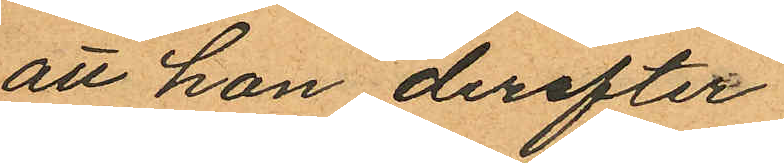att hon derefter
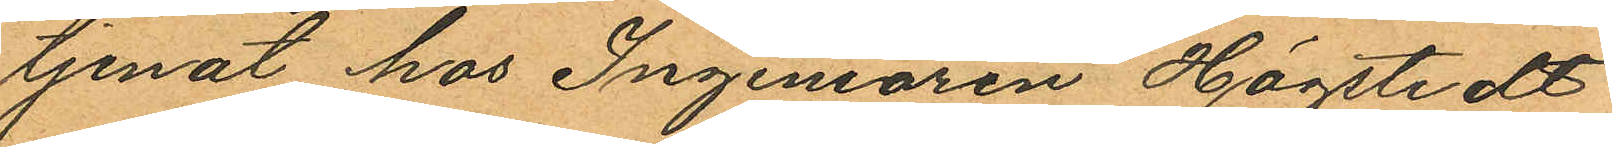tjenat hos Ingeniören Högstedt
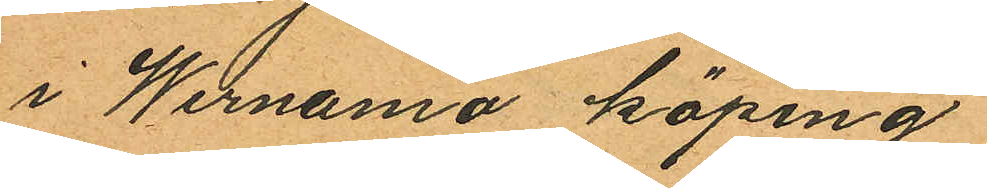i Wernamo köping
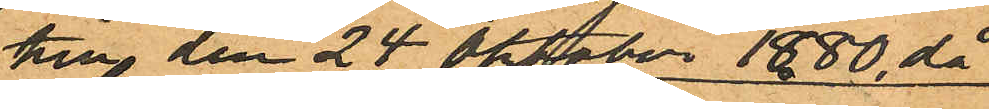till den 24 Oktober 1880, då
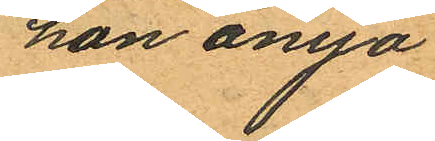hon ånyo
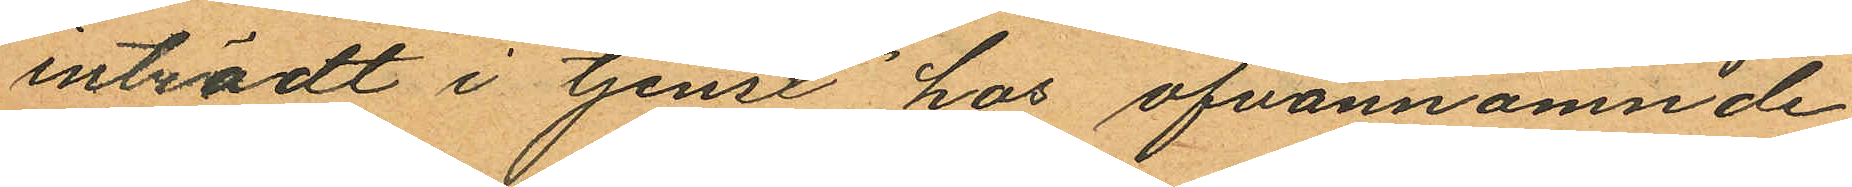inträdt i tjenst hos ofvannämnde
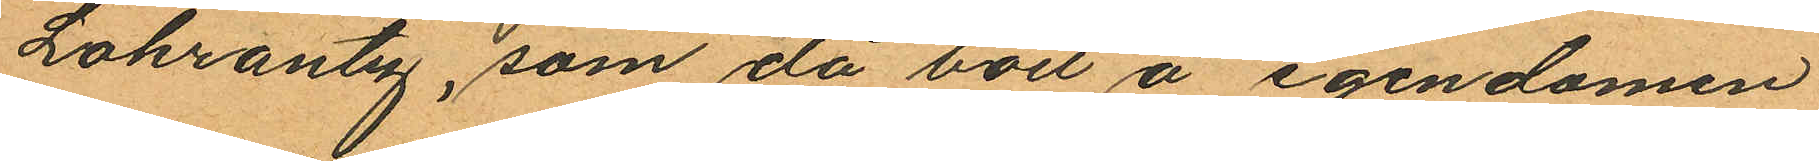Lokrantz, som då bott å egendomen
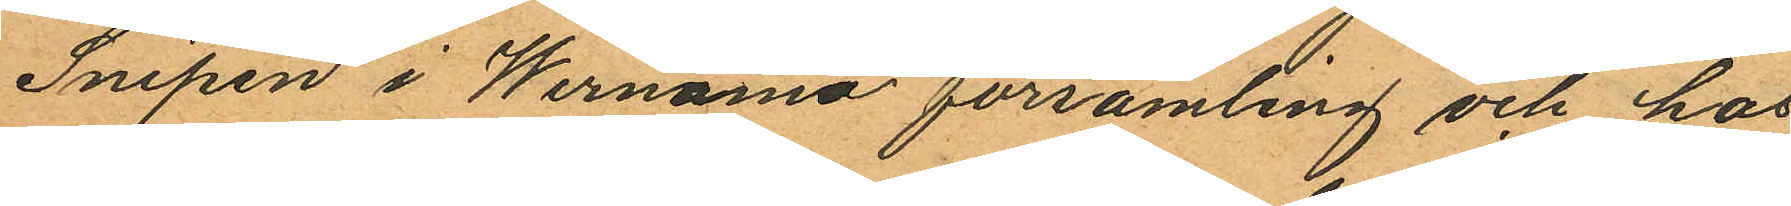Snipen i Wernamo församling och hos
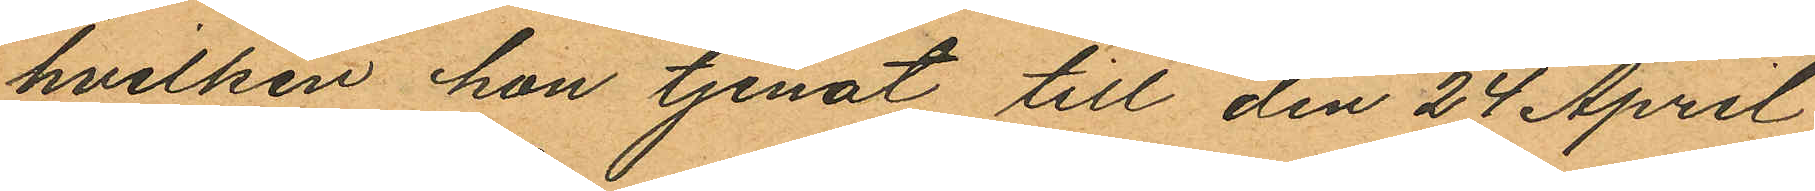hvilken hon tjenat till den 24 April
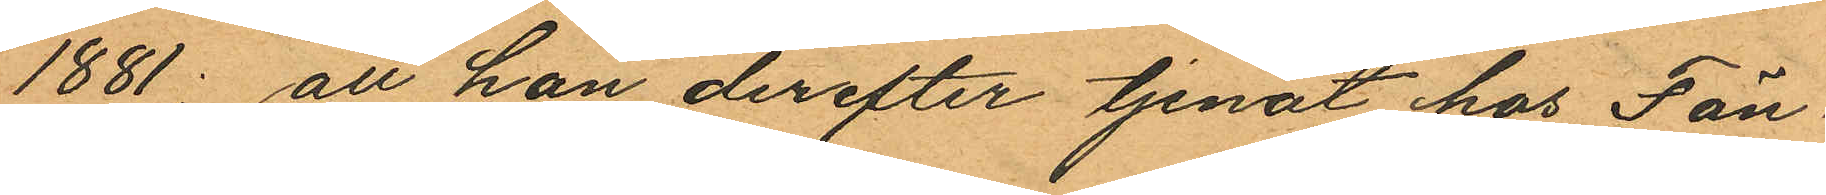1881; att hon derefter tjenat hos Fän¬
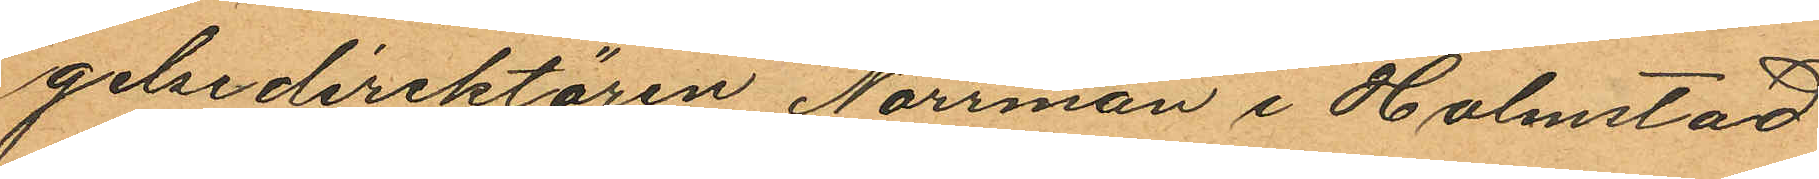gelsedirektören Norrman i Halmstad
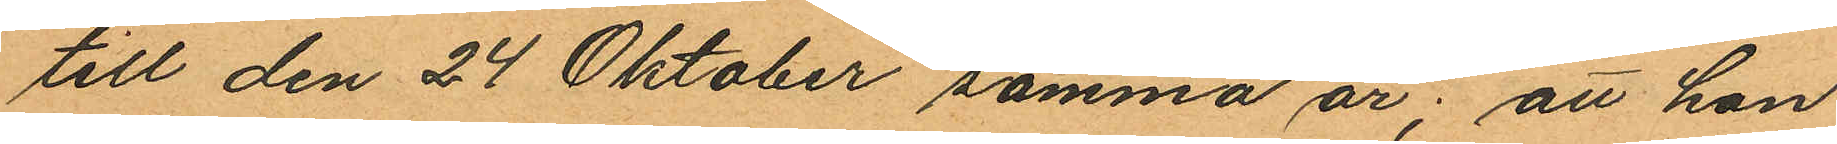till den 24 Oktober samma år; att hon
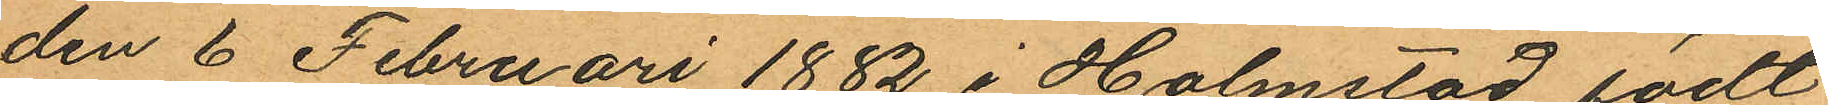den 6 Februari 1882 i Halmstad födt
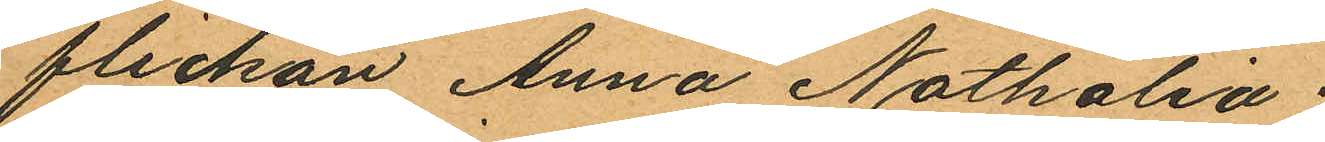flickan Anna Nathalia;
